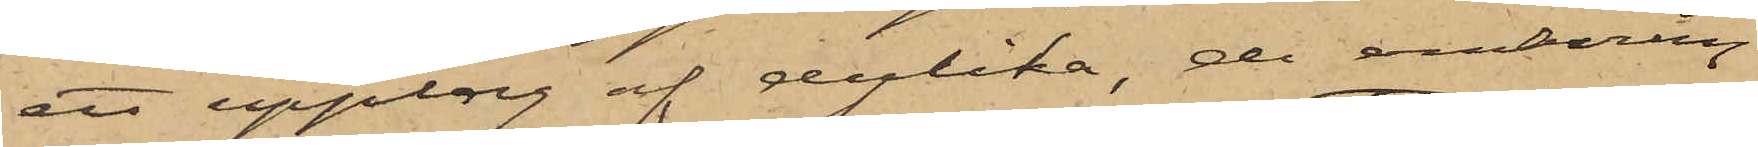ett upplag af dylika, de omkring
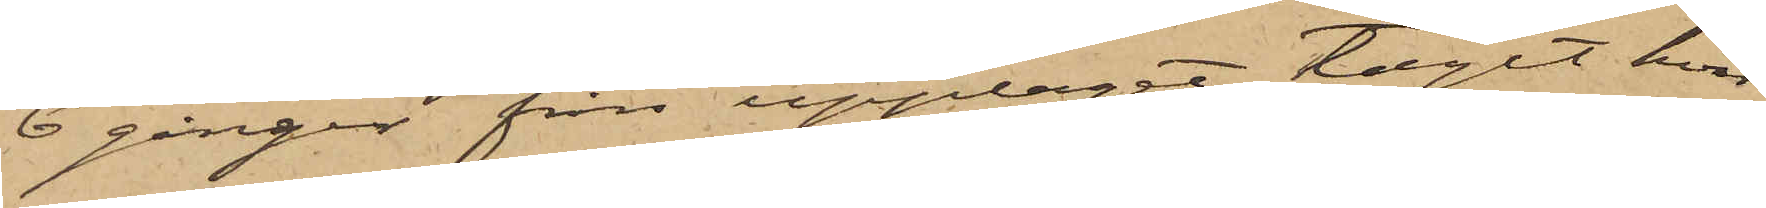6 gånger från upplaget tagit hvar
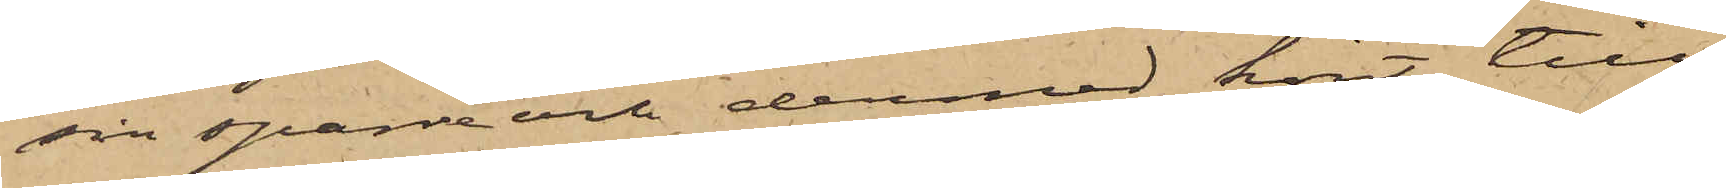sin sparre och dermed kört till
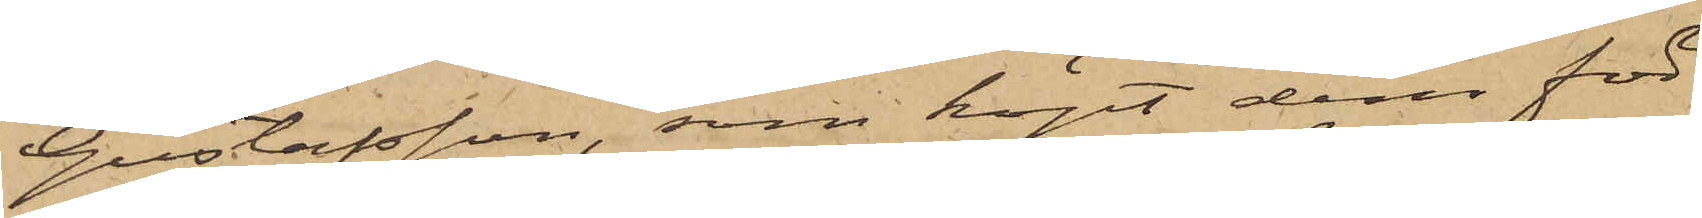Gustafsson, som köpt dem för
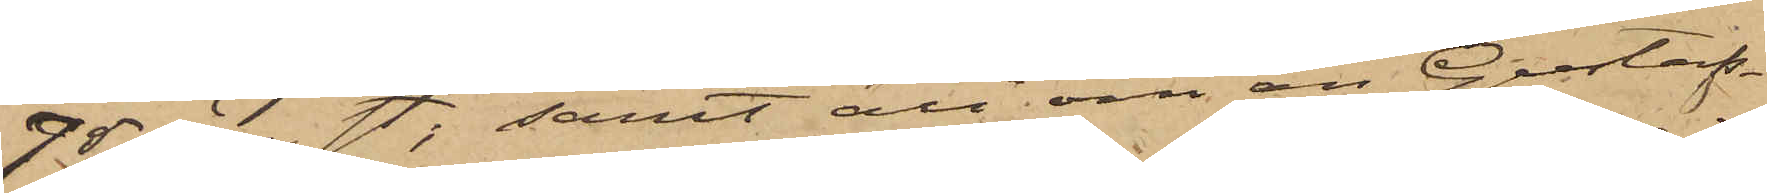75 öre st; samt att om än Gustaf¬
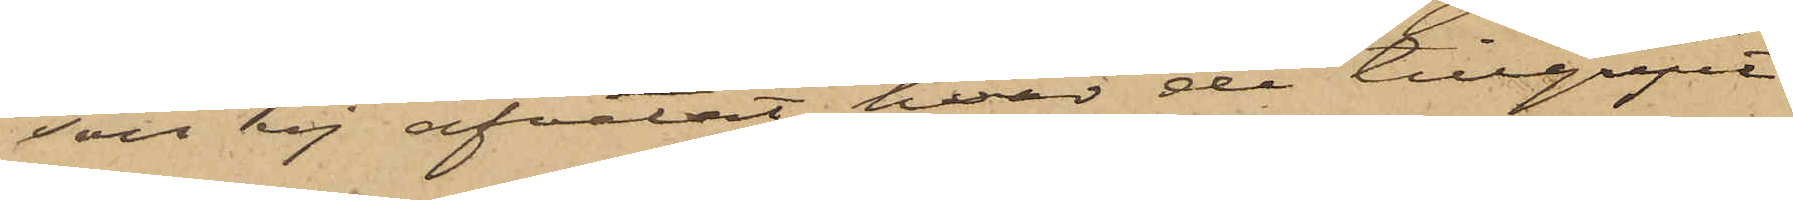son ej afvetat hvar de tillgripit
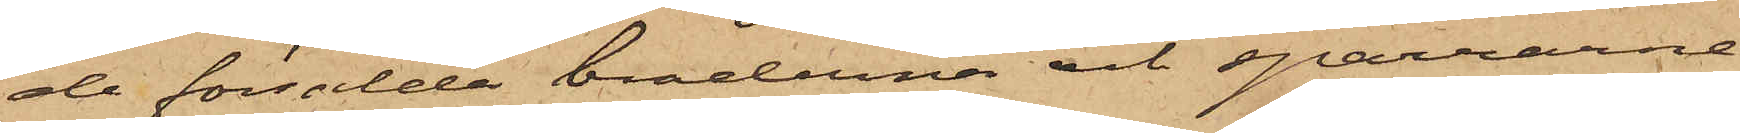de försålda bräderna och sparrarne,
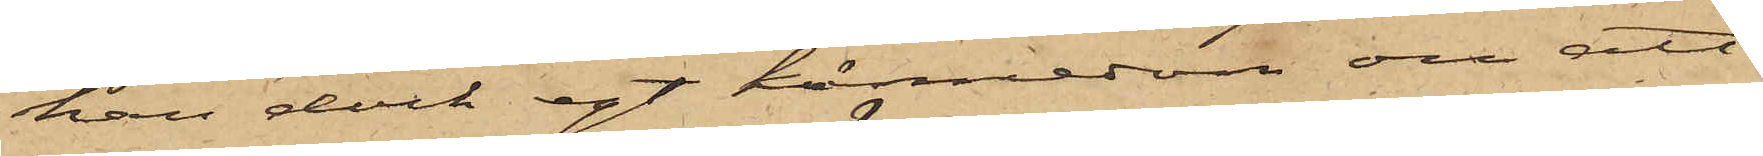han dock egt kännedom om att
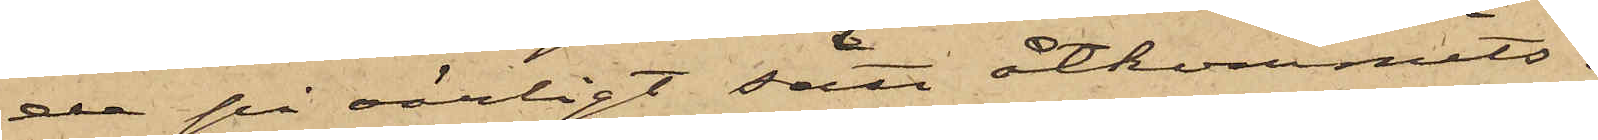de på oärligt sätt åtkommits.
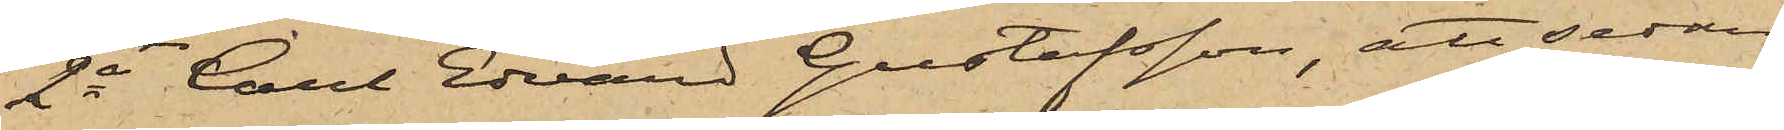2o Carl Edvard Gustafsson, att sedan
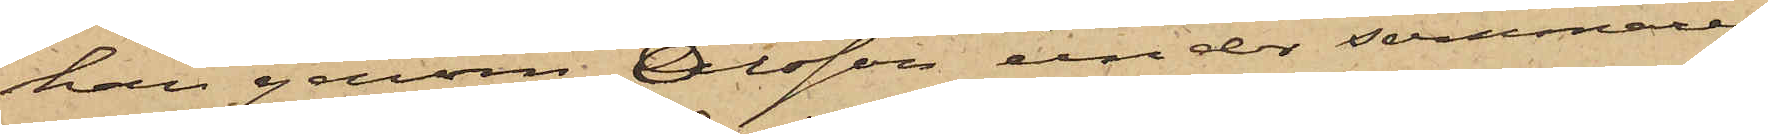han genom Olsson under sommaren
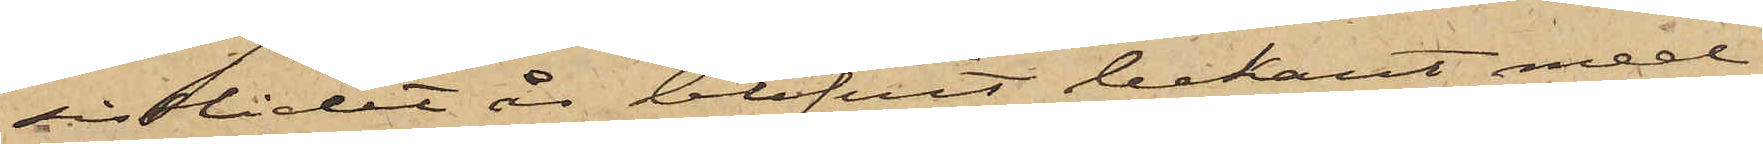sistlidet år blifvit bekant med
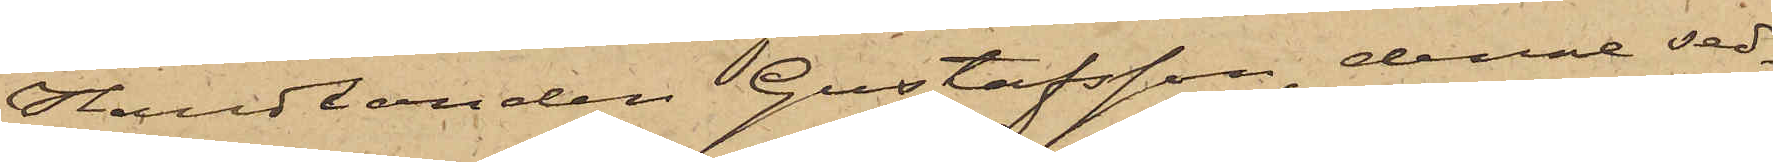Handlanden Gustafsson, denne sed¬
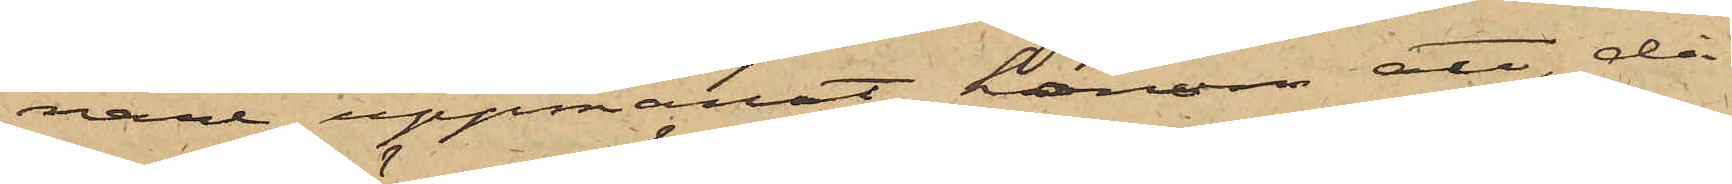nare uppmanat honom att, då
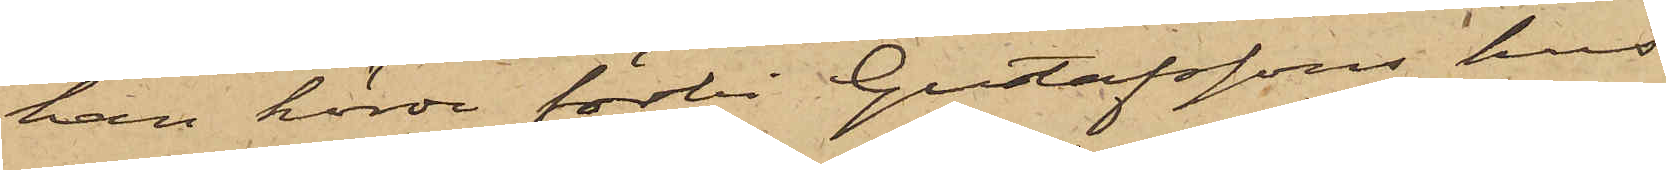han körde förbi Gustafssons hus
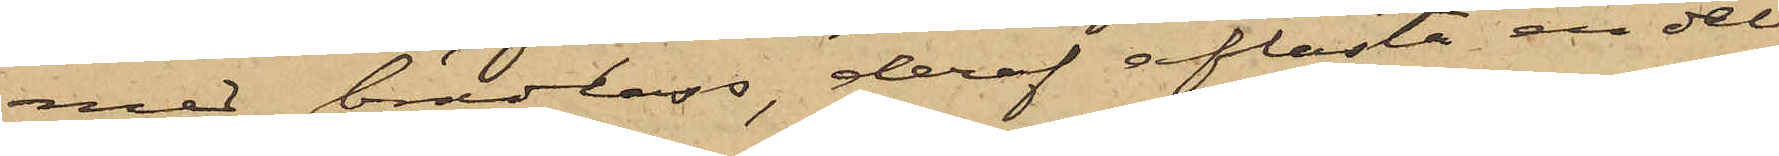med brädlass, deraf aflasta en del
